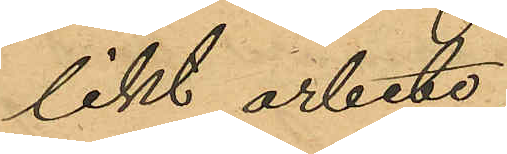likt arbete
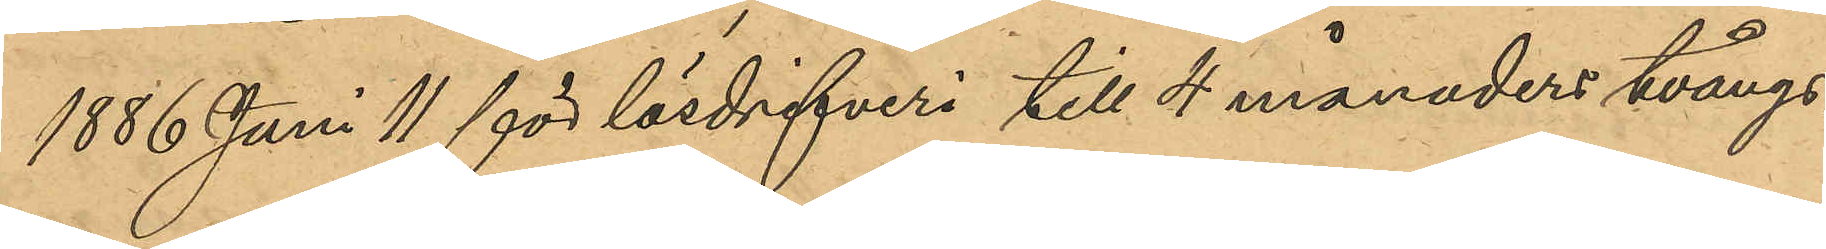1886 Juni 11 för lösdrifveri till 4 månaders tvångs¬
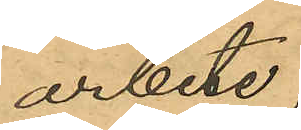arbete;
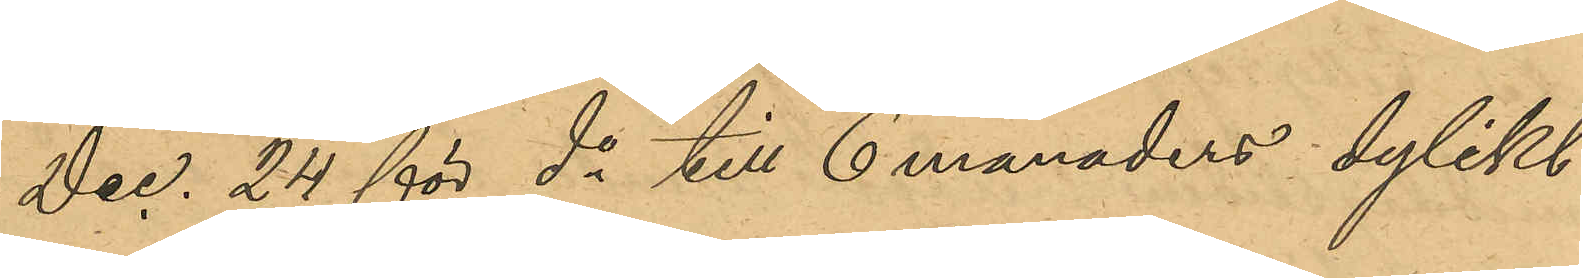" Dec. 24 för do till 6 månaders dylikt
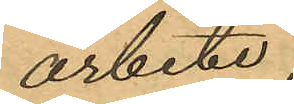arbete;
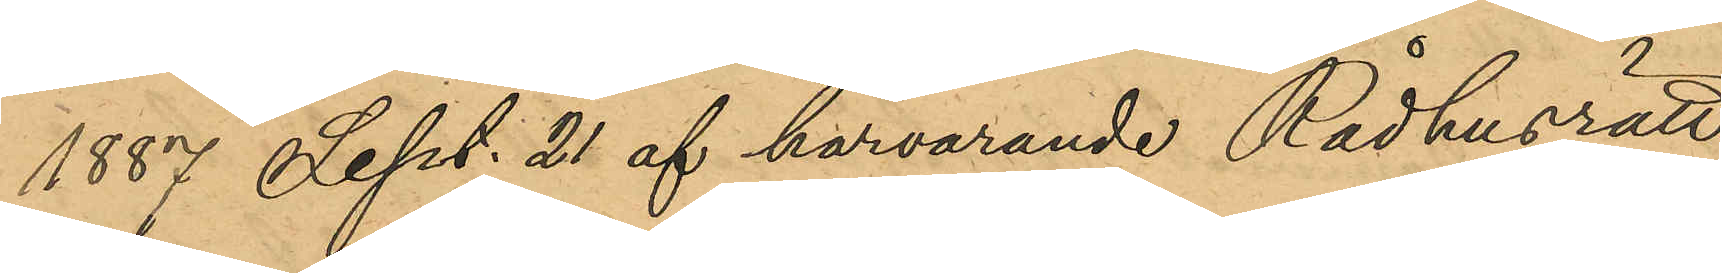1887 Sept. 21 af härvarande Rådhusrätt
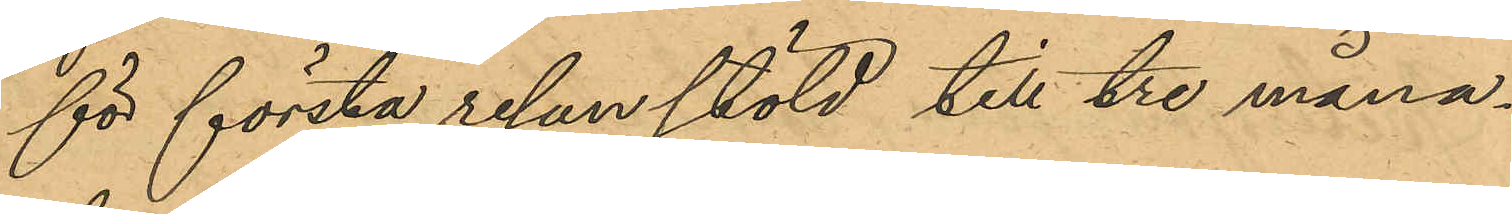för första resan stöld till tre måna¬
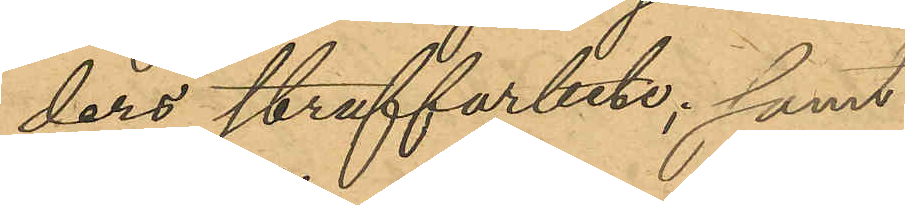ders straffarbete; samt
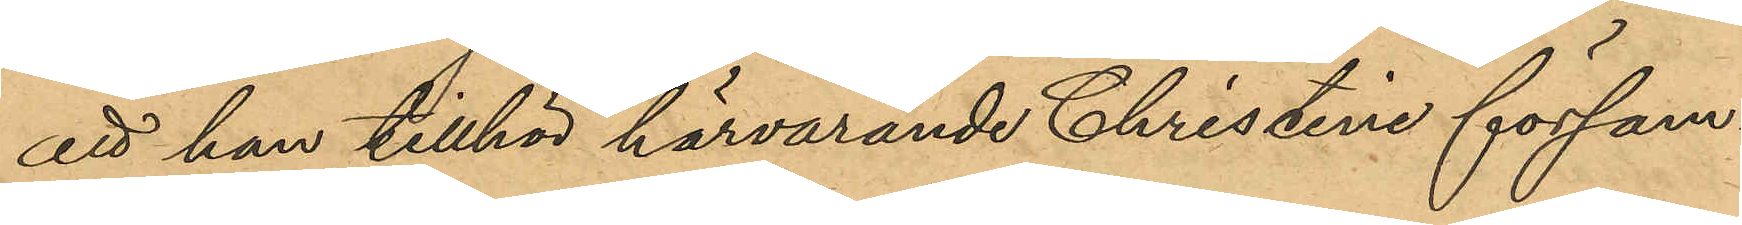att han tillhör härvarande Christine försam¬
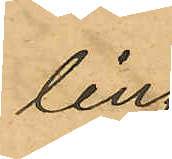ling.
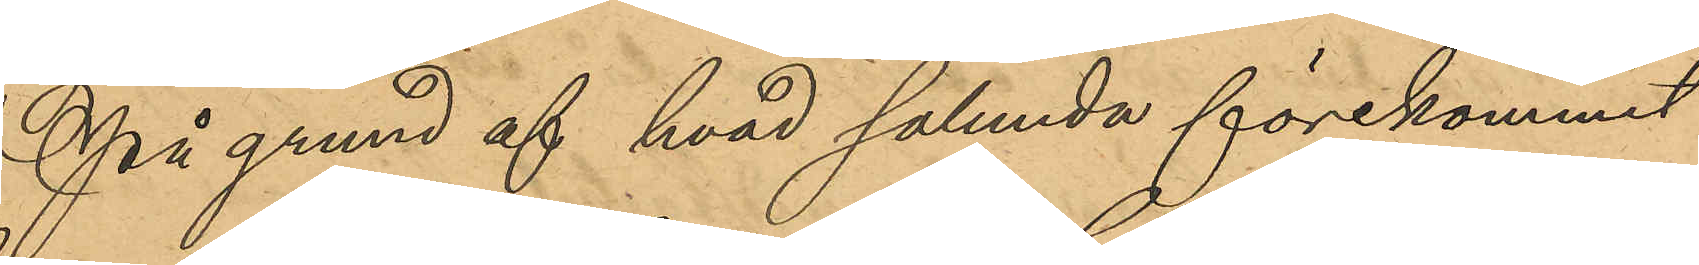På grund af hvad sålunda förekommit
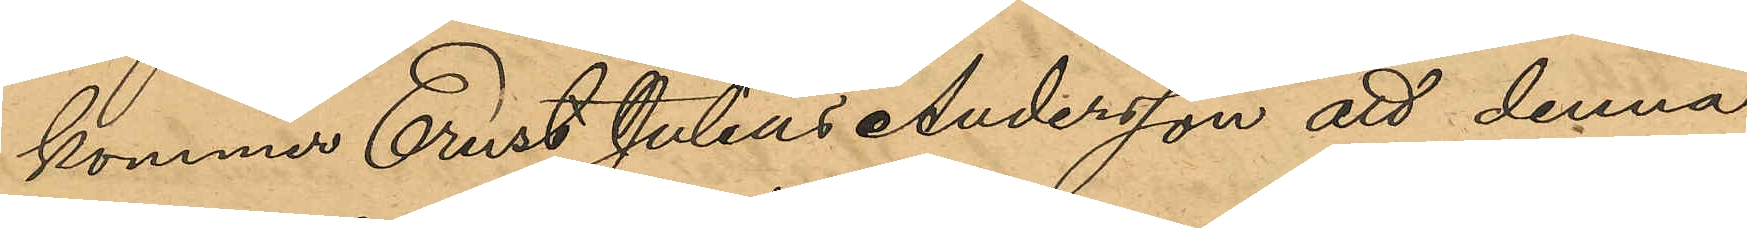kommer Ernst Julius Andersson att denna
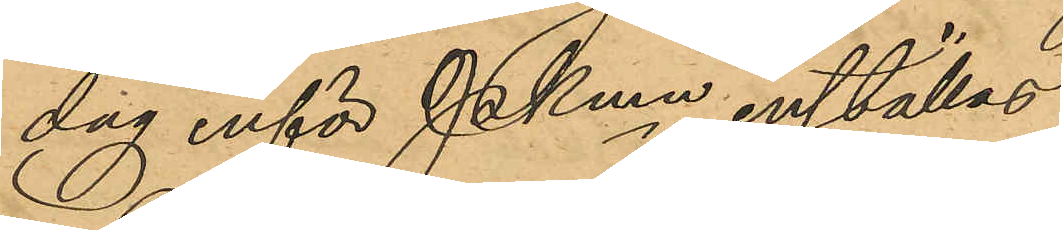dag inför Pkmn inställas.
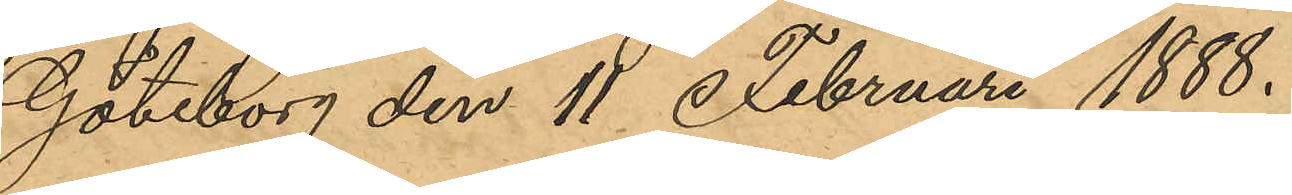Göteborg den 11 Februari 1888.
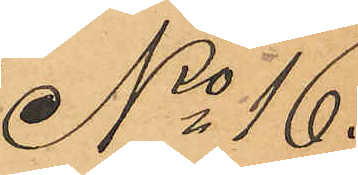No 16.
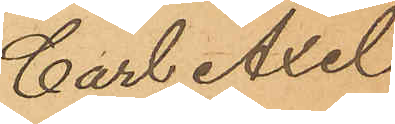Carl Axel 
